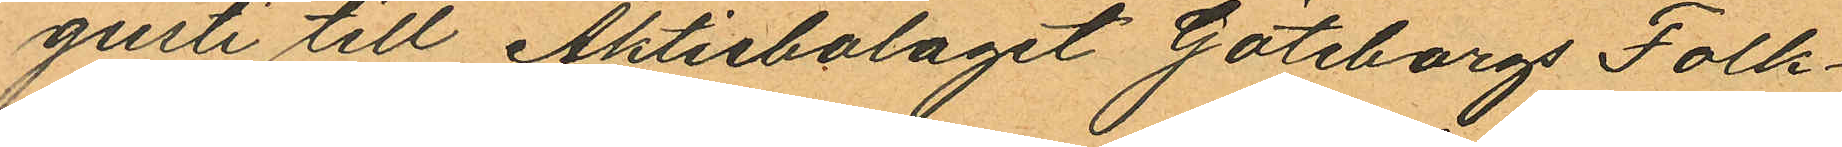gusti till Aktiebolaget Göteborg Folk¬
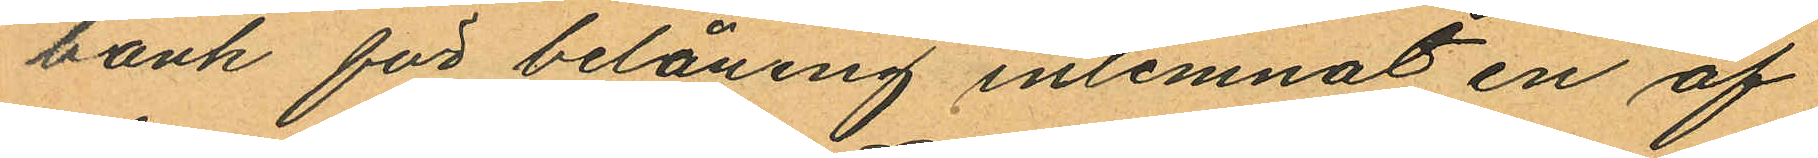bank för belåning inlemnat en af
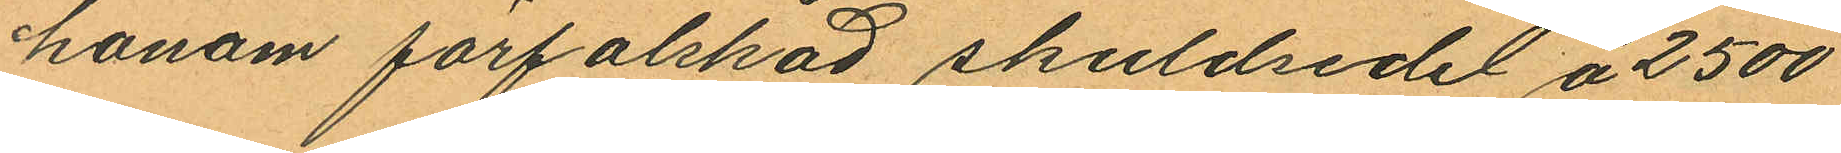honom förfalskad skuldsedel å 2500
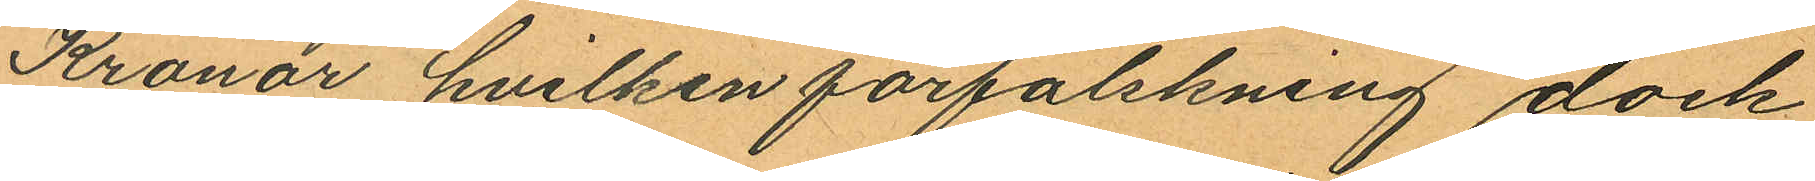Kronor hvilken förfalskning dock
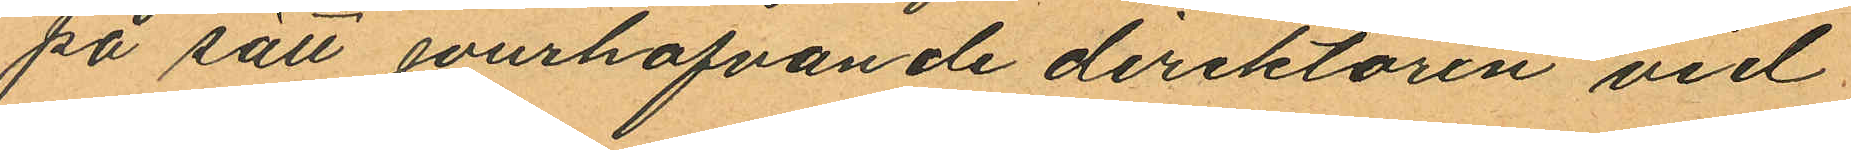på sätt jourhafvande direktören vid
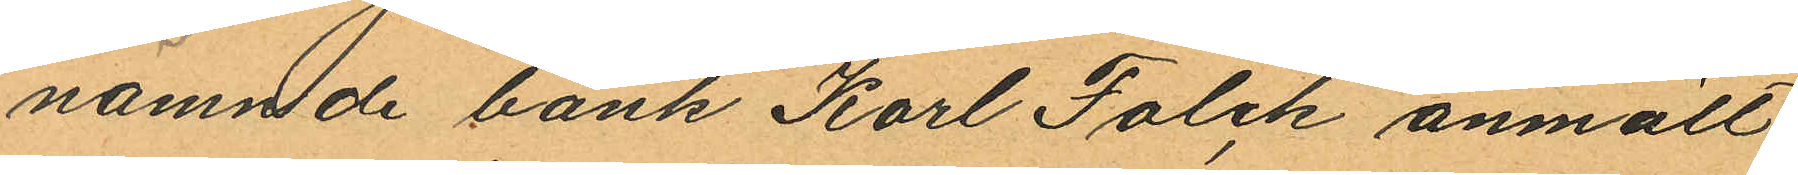nämnde bank Karl Falck anmält
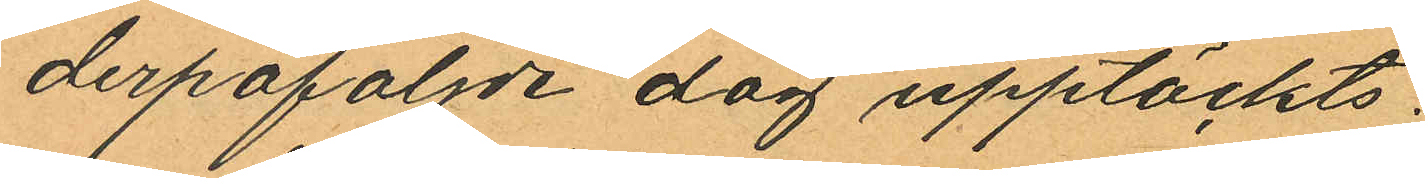derpåföljde dag upptäckts;
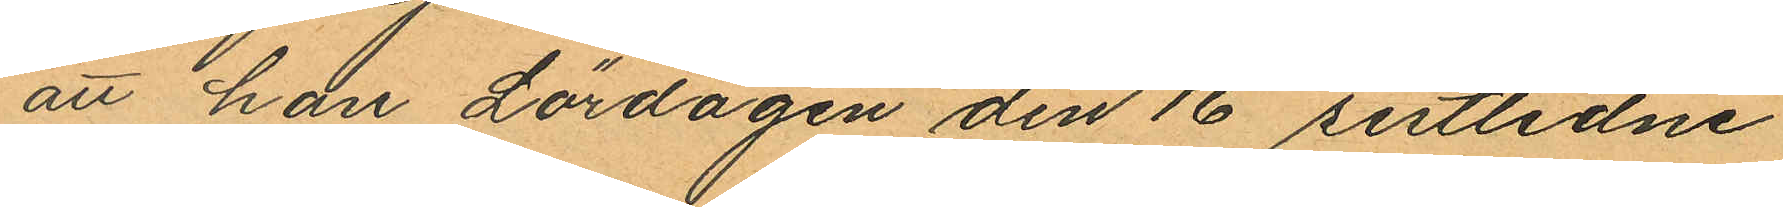att han Lördagen den 16 sistlidne
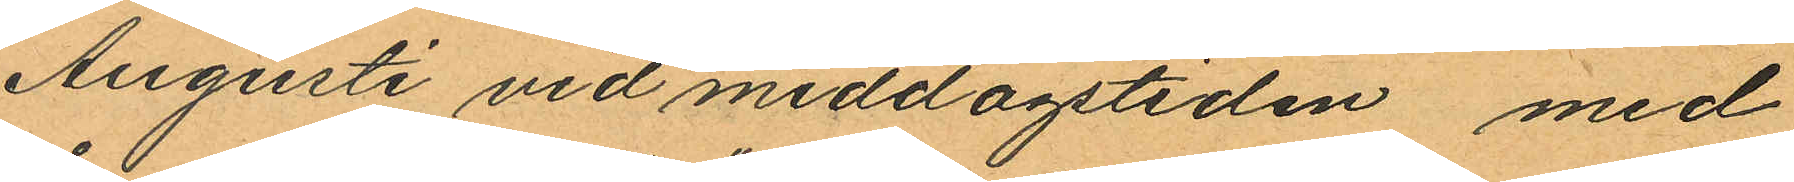Augusti vid middagstiden med
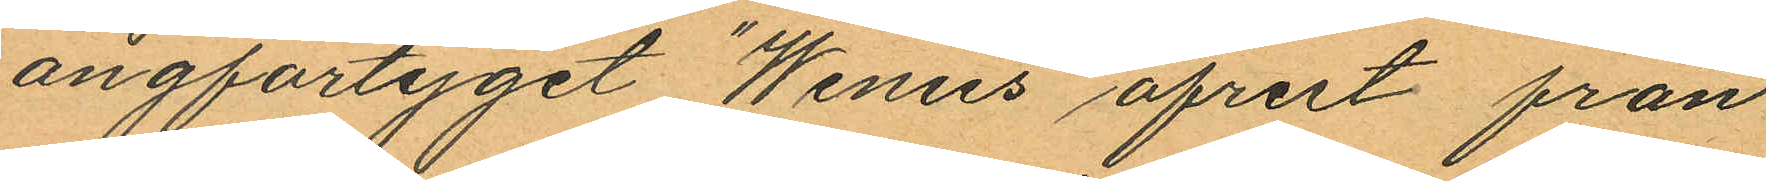ångfartyget "Wenus" afrest från
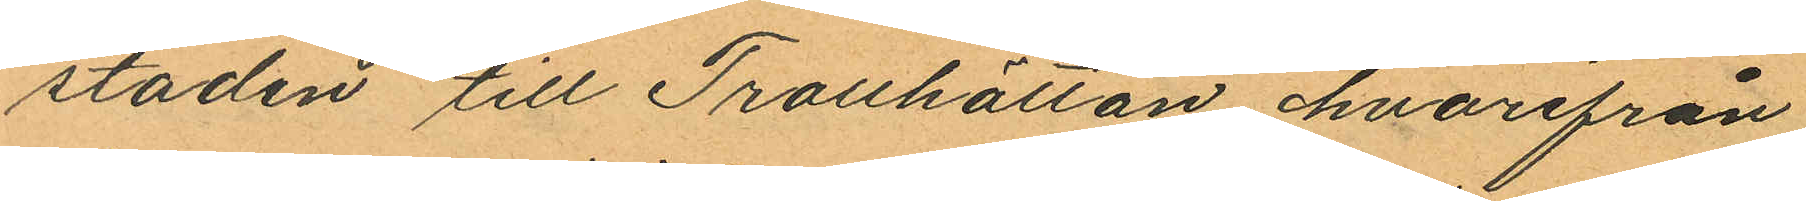staden till Trollhättan hvarifrån
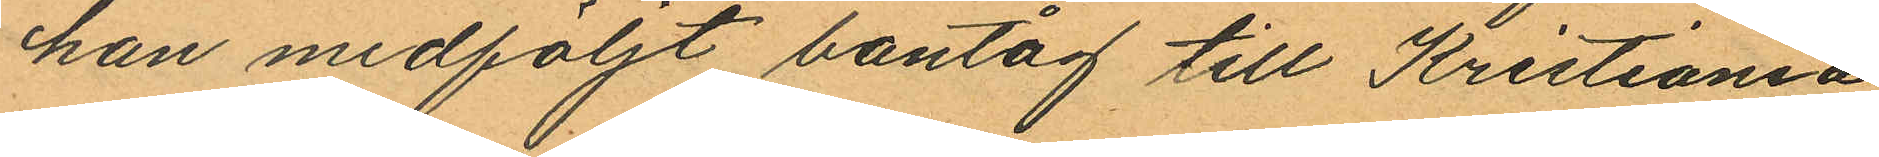han medföljt bantåg till Kristiania
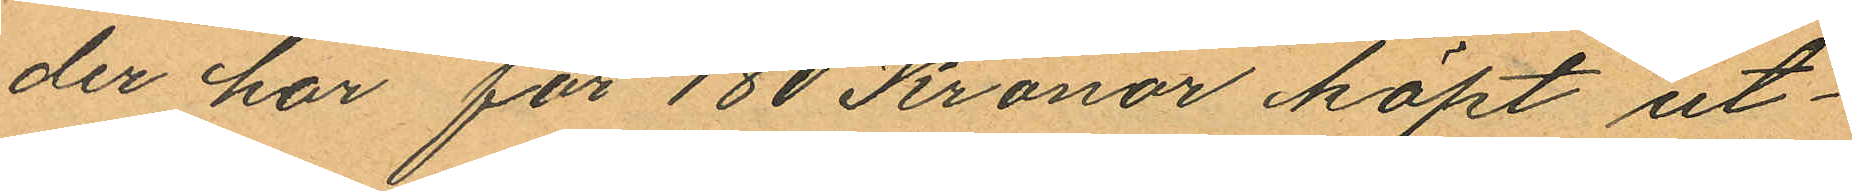der har för 180 Kronor köpt ut¬
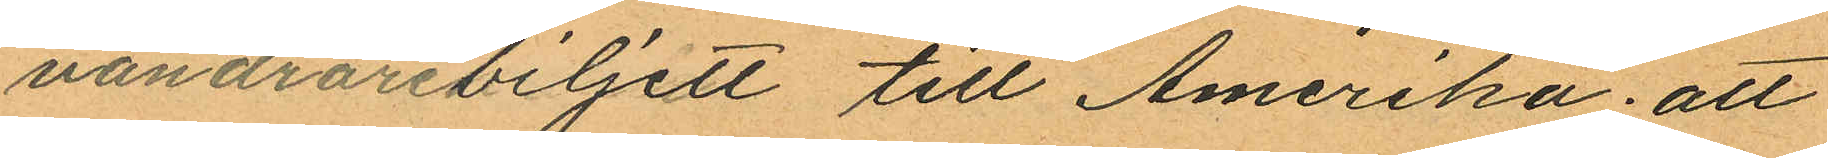vandrarebiljett till Amerika; att
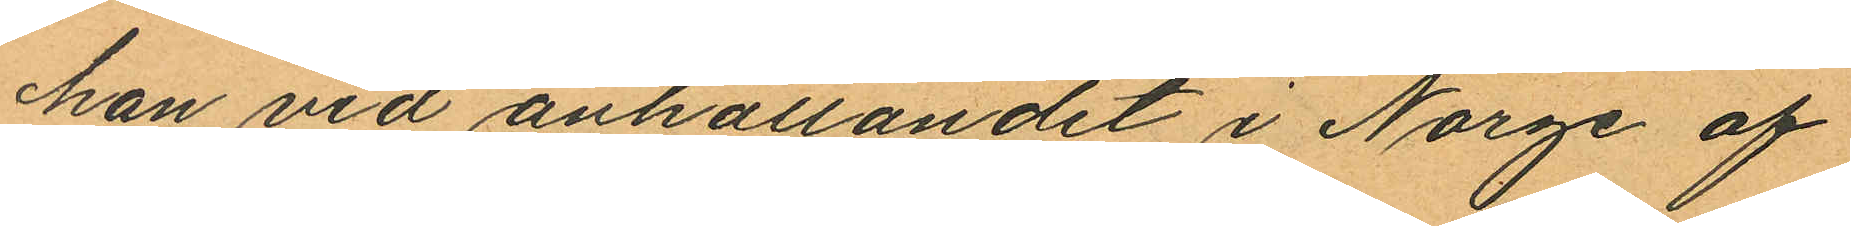han vid anhållandet i Norge af
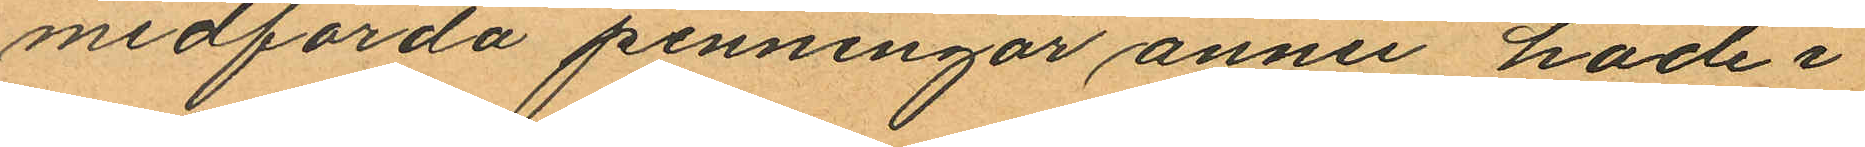medförda penningar ännu hade i
